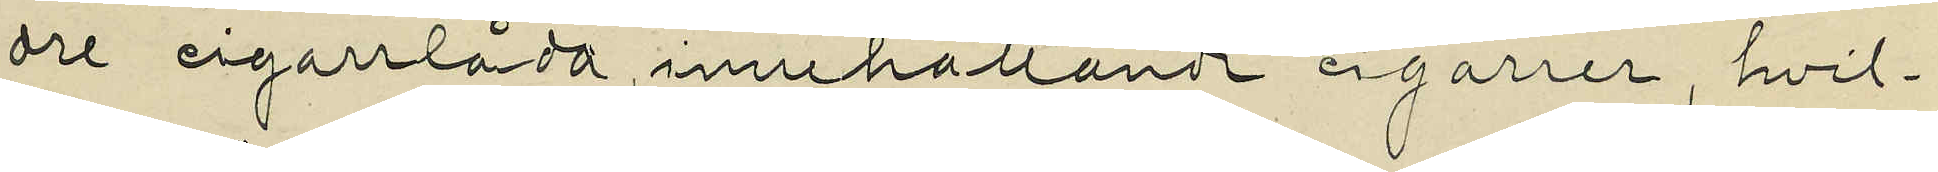dre cigarrlåda, innehållande cigarrer, hvil¬
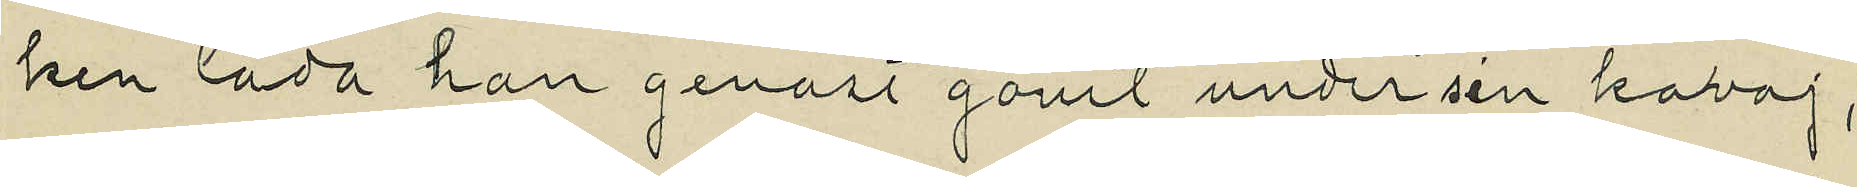ken låda han genast gömt under sin kavaj,
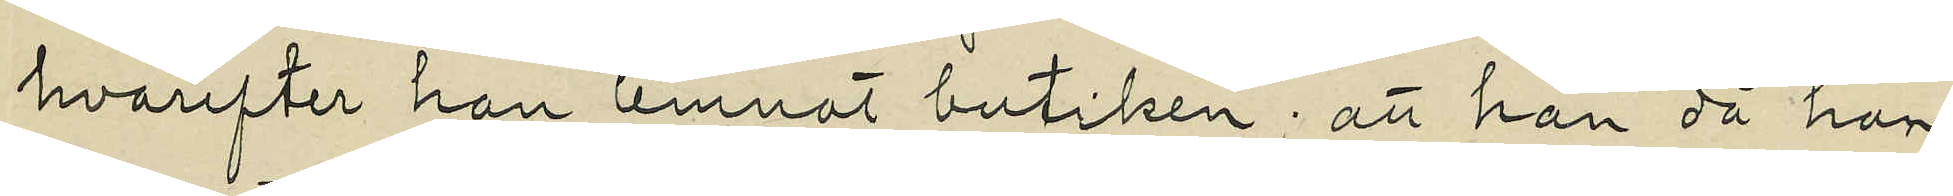hvarefter han lemnat butiken; att han då han
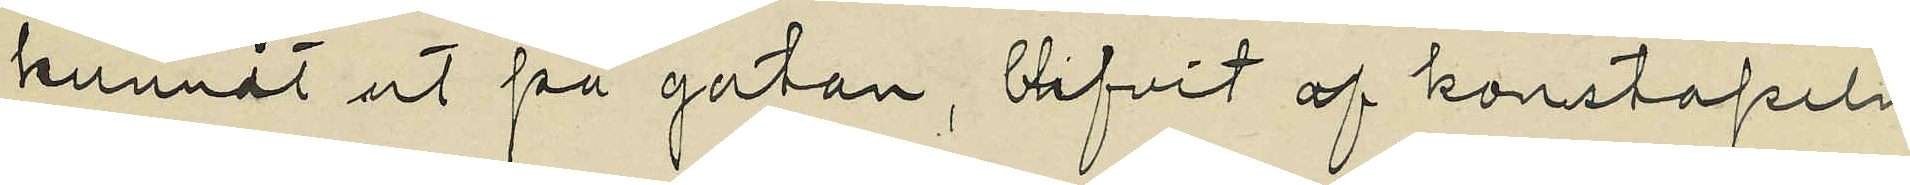kommit ut på gatan, blifvit af konstapeln
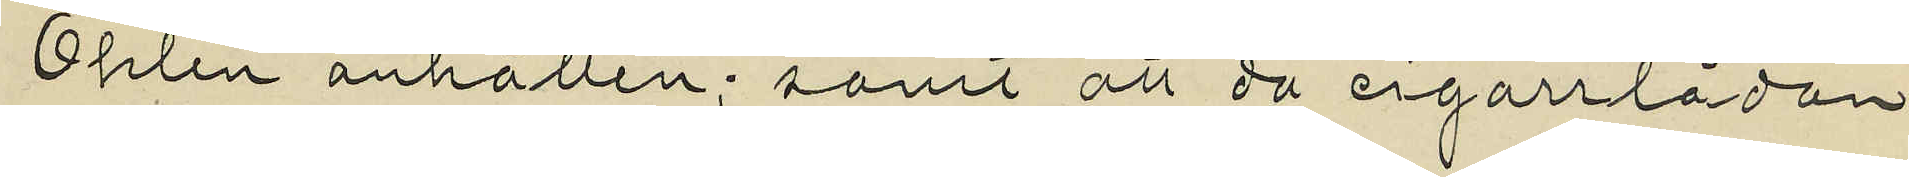Öhlen anhållen; samt att då cigarrlådan
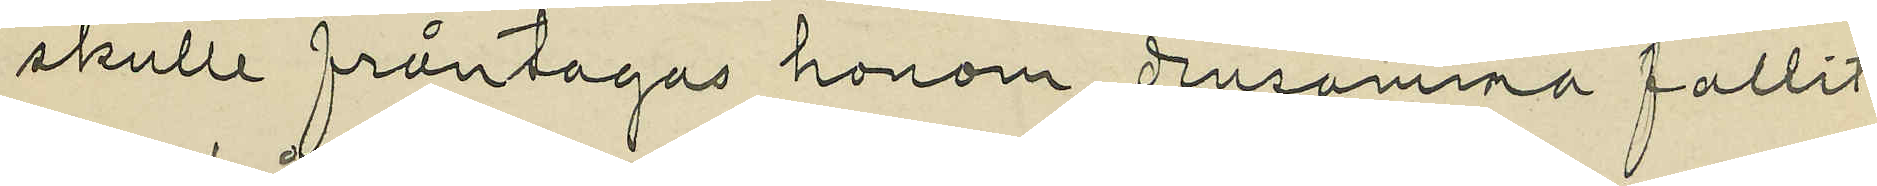skulle fråntagas honom, densamma fallit
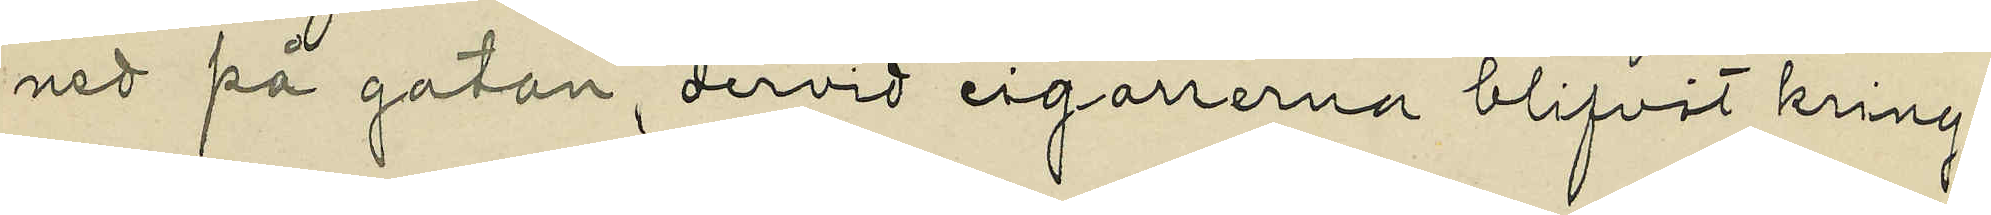ned på gatan, dervid cigarrerna blifvit kring¬
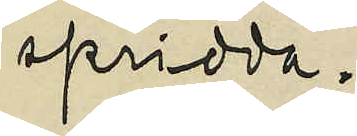spridda.
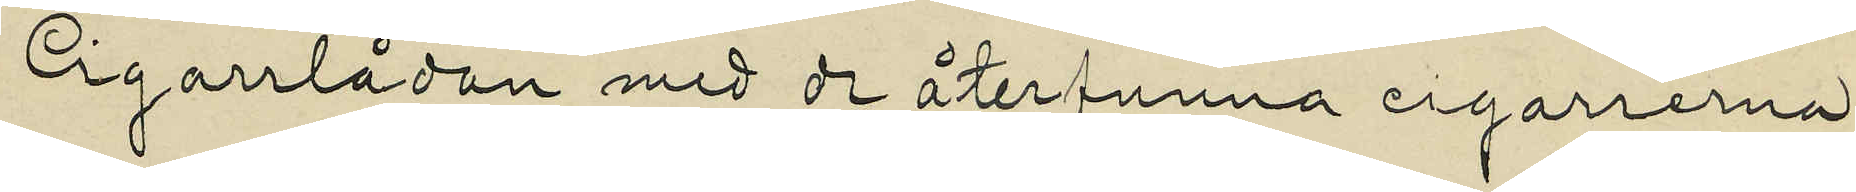Cigarrlådan med de återfunna cigarrerna
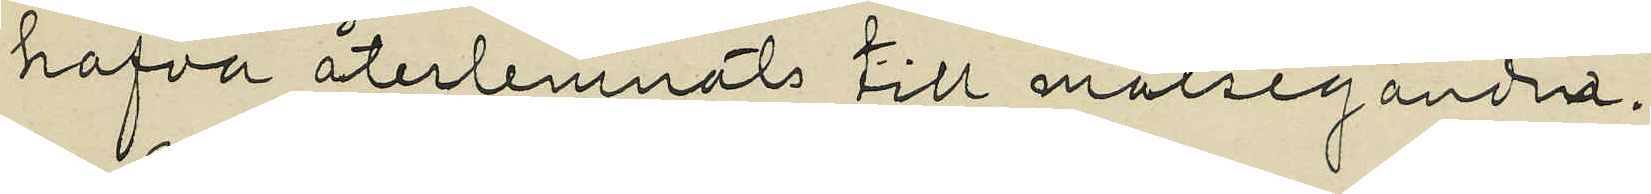hafva återlemnats till målseganden.
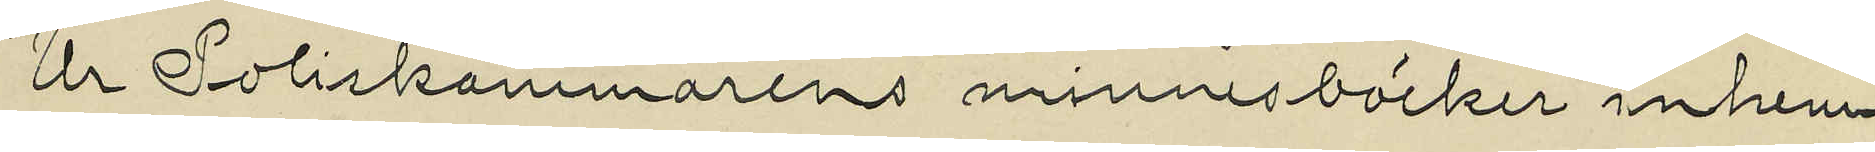Ur Poliskammarens minnesböcker inhem¬
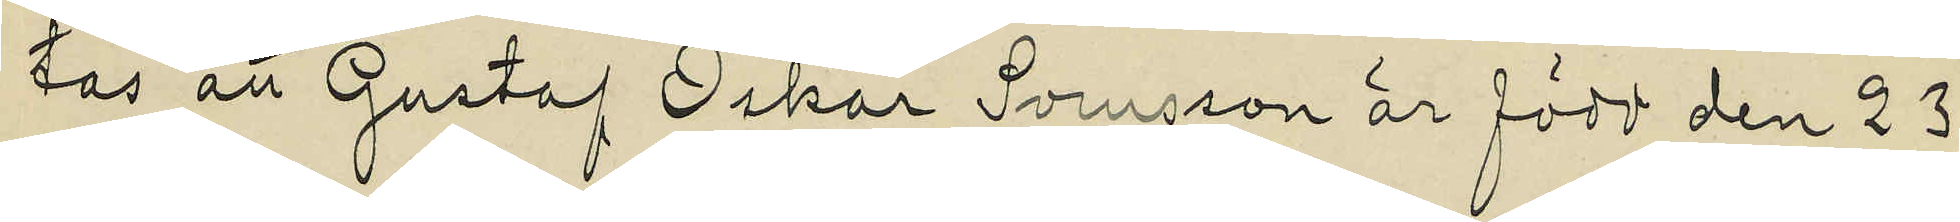tas att Gustaf Oskar Svensson är född den 23
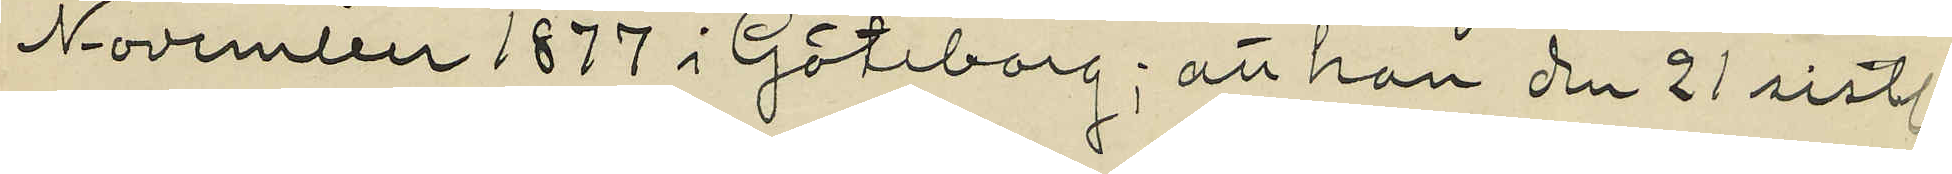November 1877 i Göteborg; att han den 21 sistl.
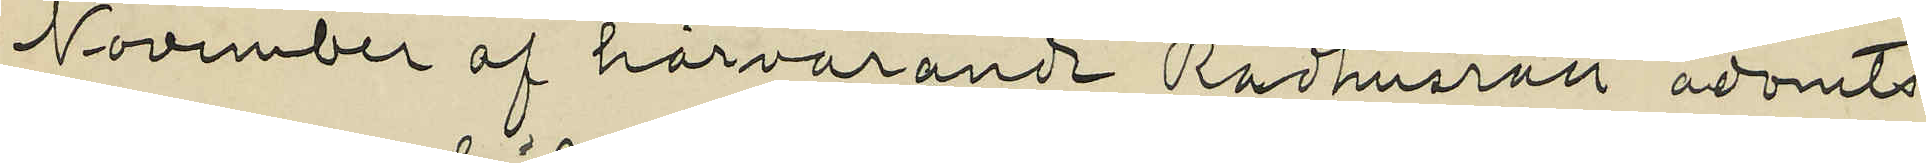November af härvarande Rådhusrätt ådömts
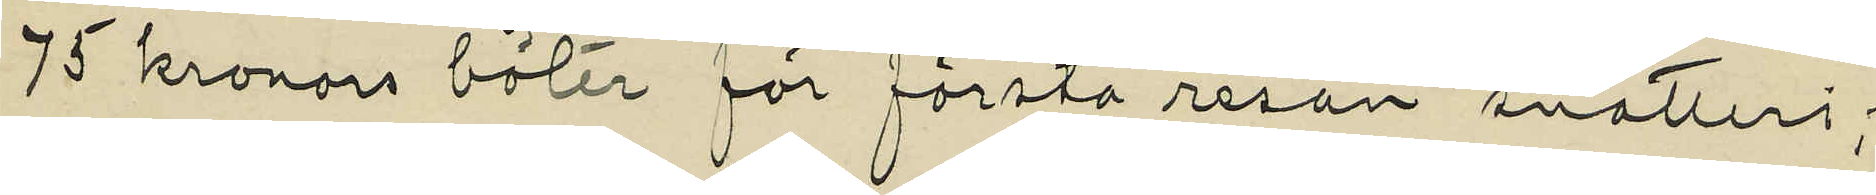75 kronors böter för första resan snatteri;
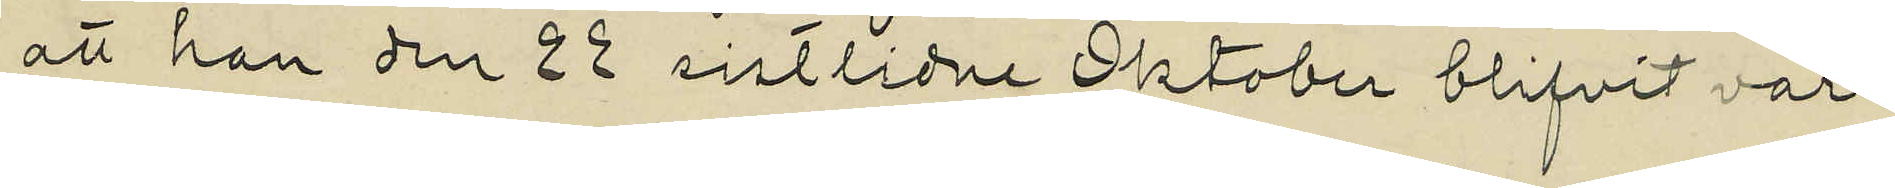att han den 22 sistlidne Oktober blifvit var¬
